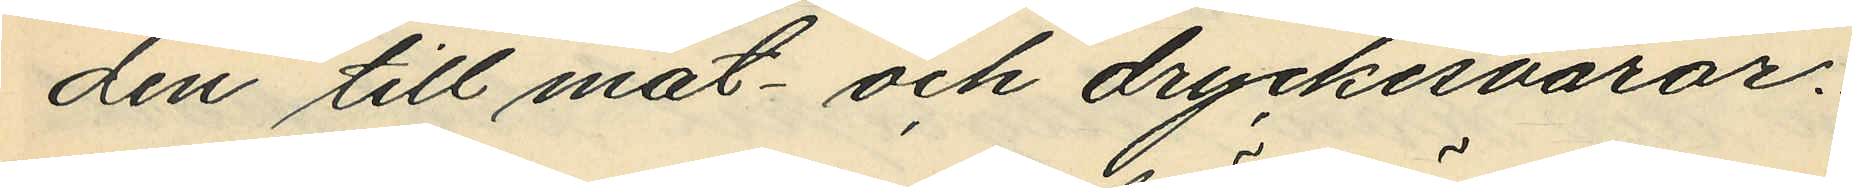den till mat- och dryckervaror.
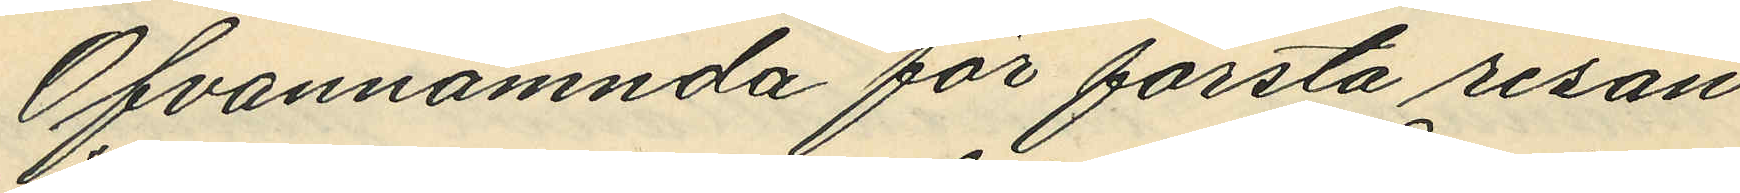Ofvannämnda för första resan
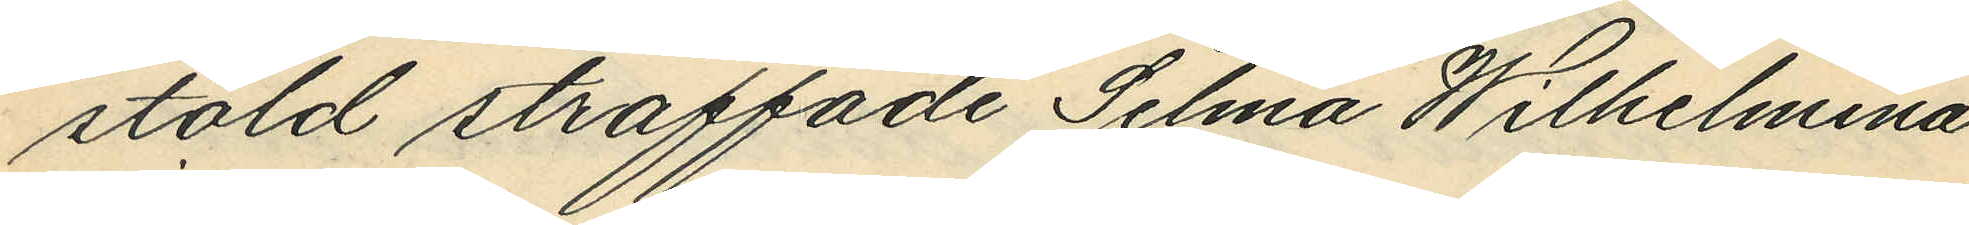stöld straffade Selma Wilhelmina
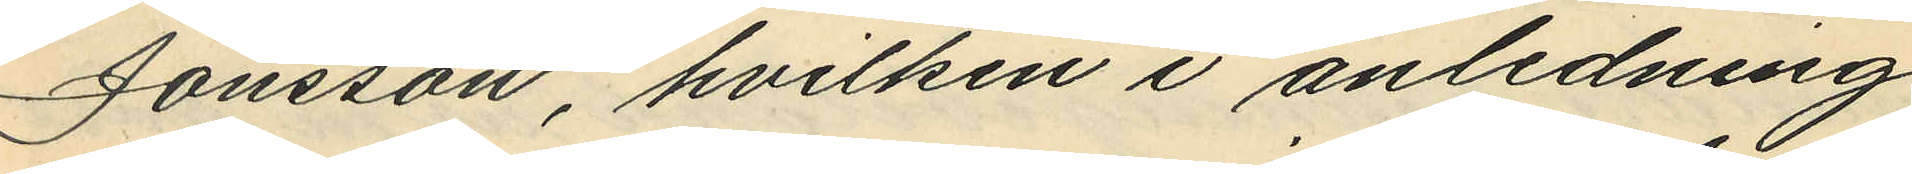Jonssan, hvilken i anledning
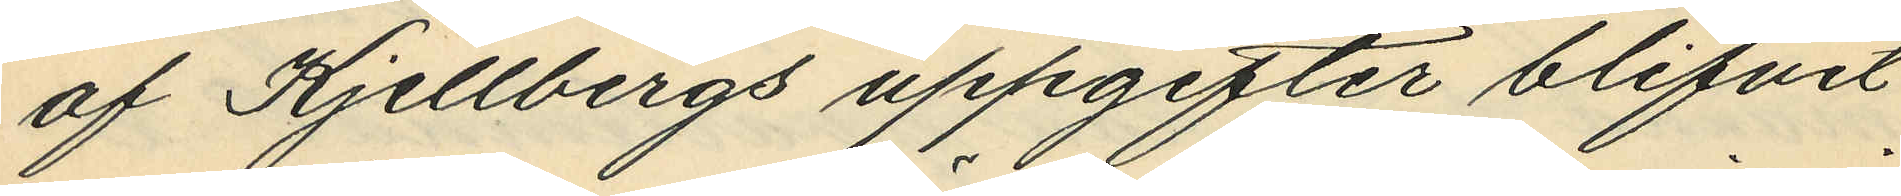af Kjellbergs uppgifter blifvit
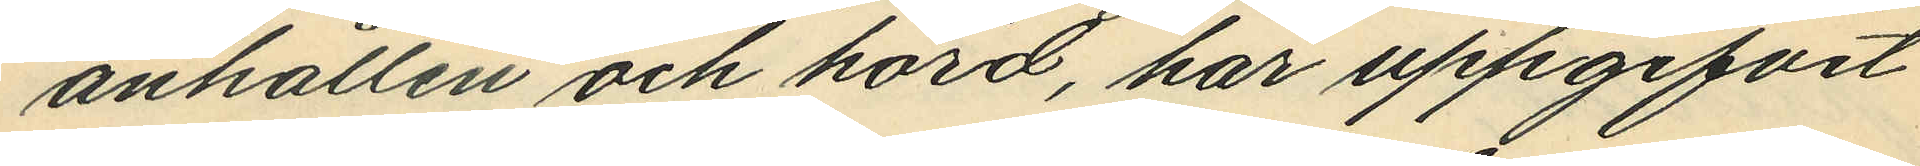anhållen och hörd, har uppgifvit
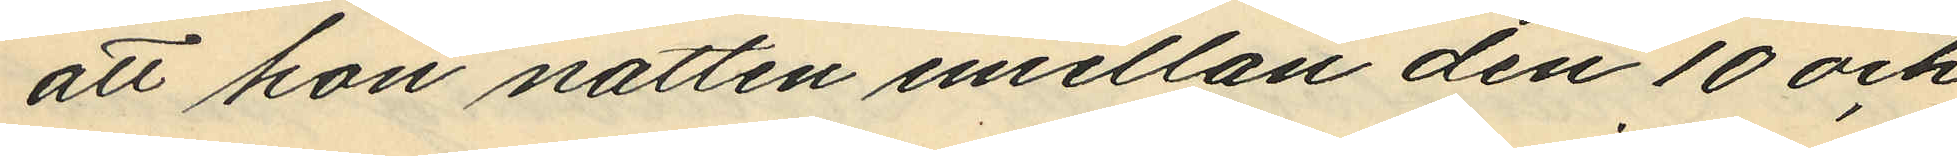att hon natten emellan den 10 och
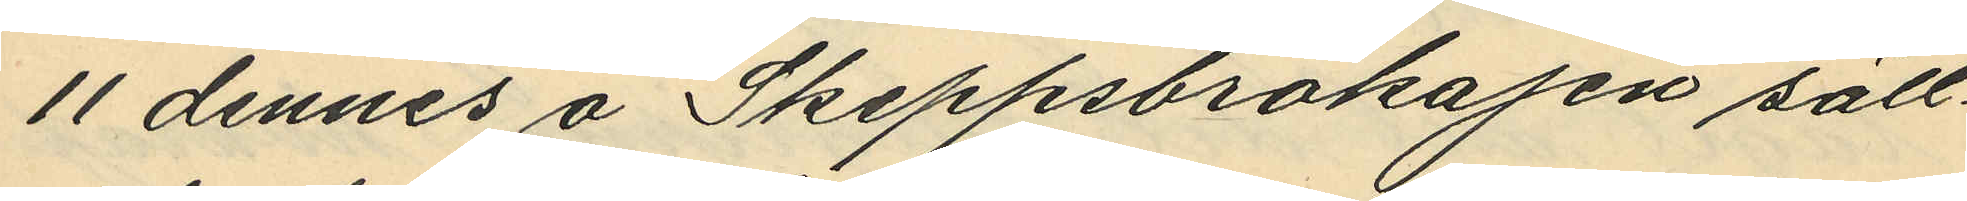11 dennes å Skeppsbrokajen säll¬
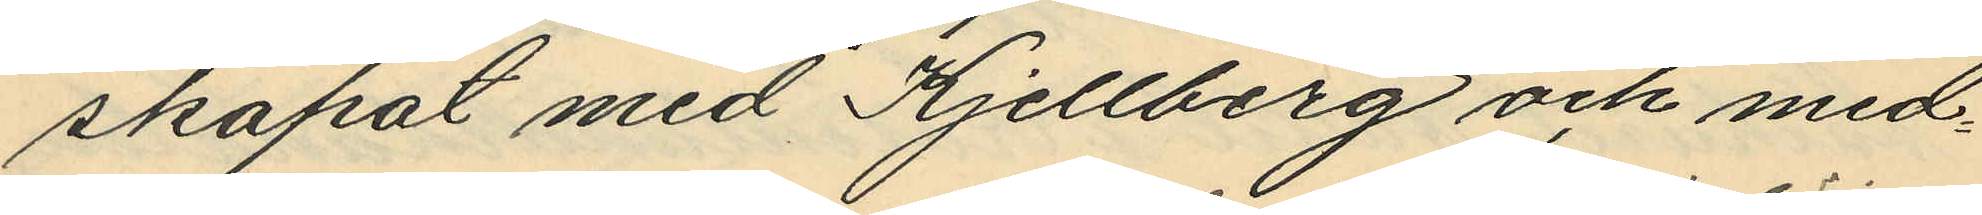skapat med Kjellberg och med¬
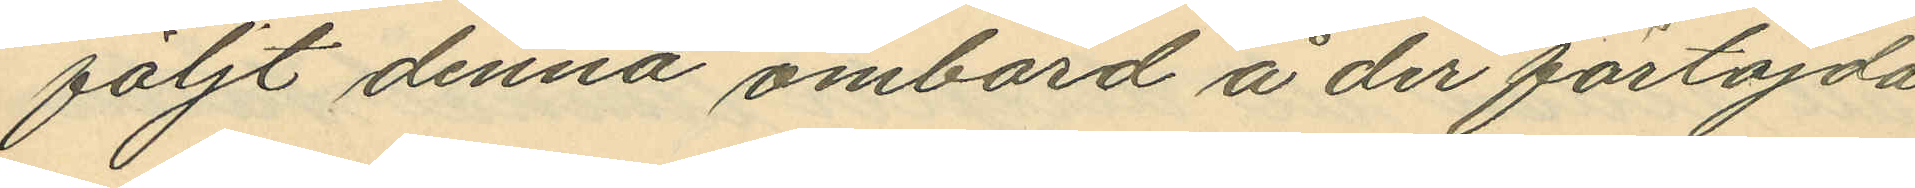följt denna ombord å der förtöjda
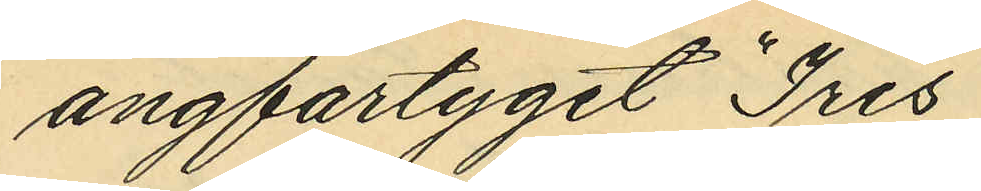ångfartyget "Iris"
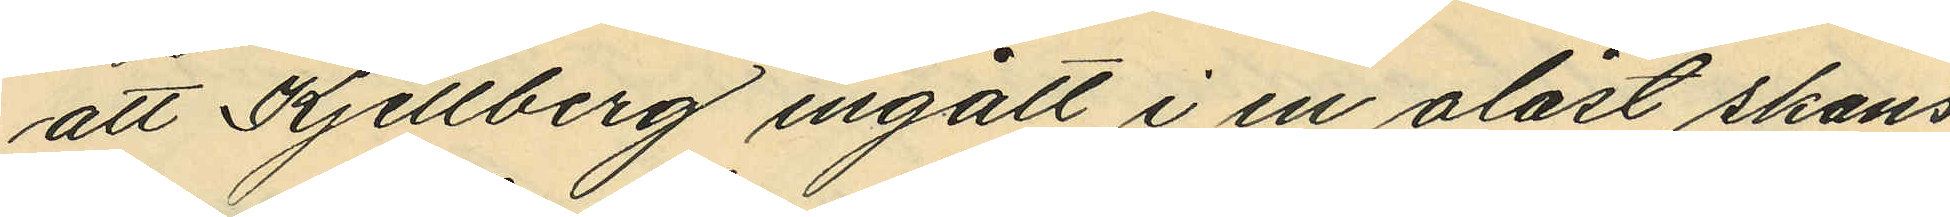att Kjellberg ingått i en olåst skans,
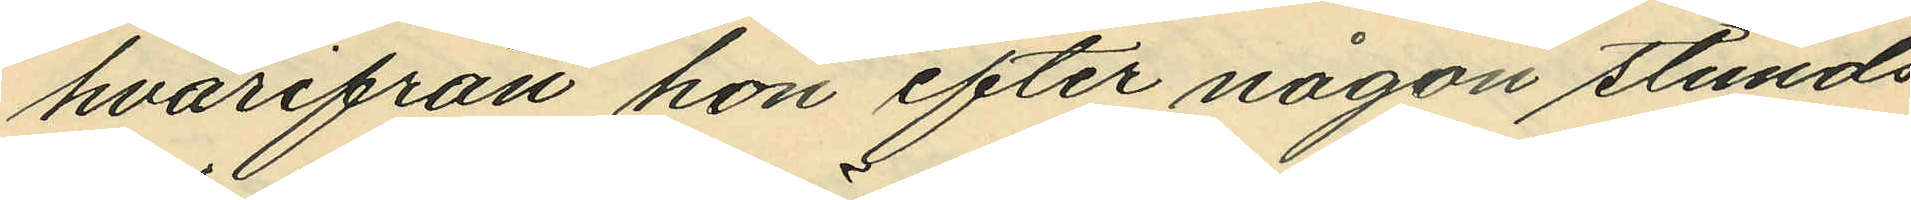hvarifrån hon efter någon stunds
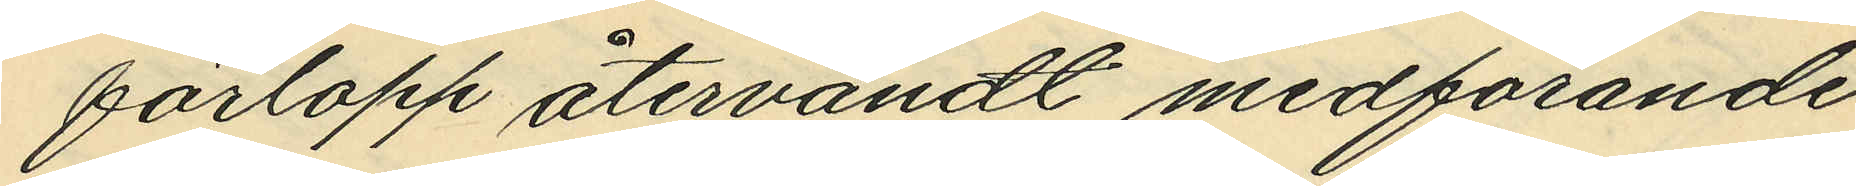förlopp återvändt medförande
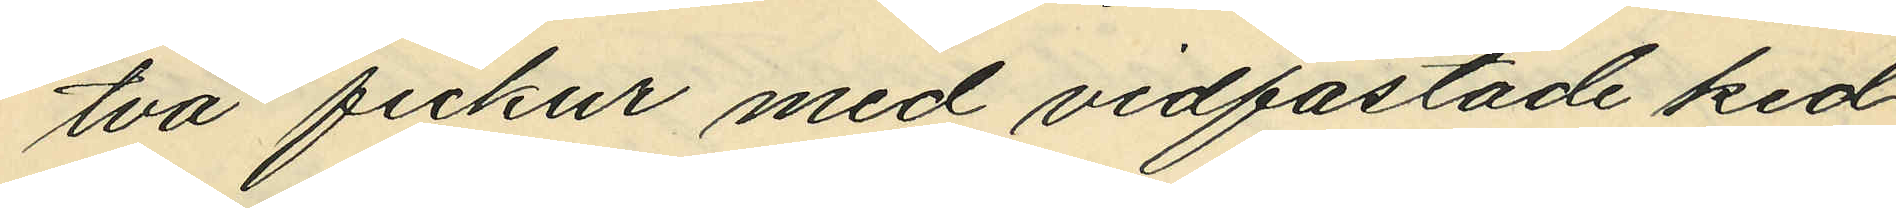två fickur med vidfästade ked¬
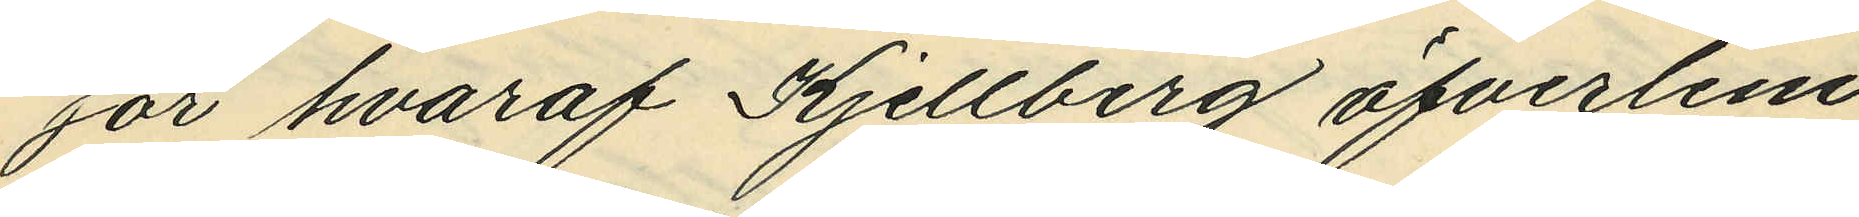jor hvaraf Kjellberg öfverlem¬
